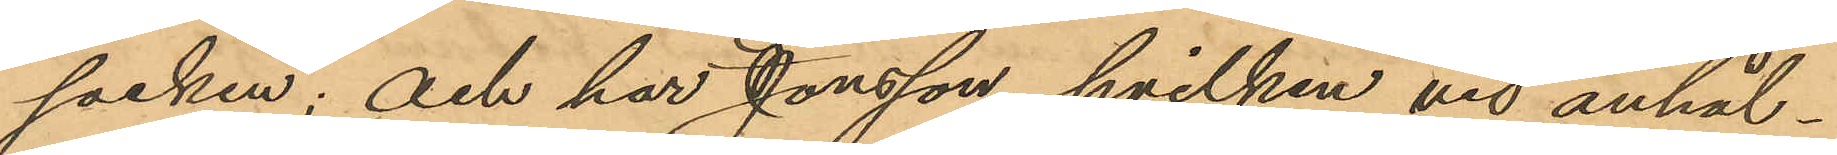socken; och har Jonsson, hvilken vid anhål¬
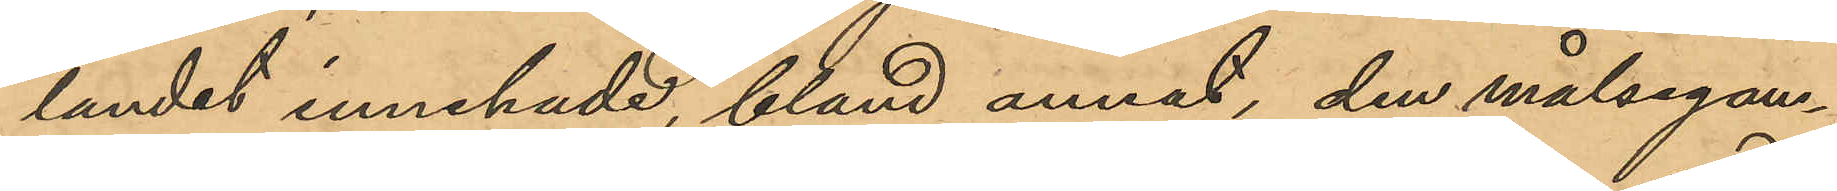landet innehade, bland annat, den målsegan¬
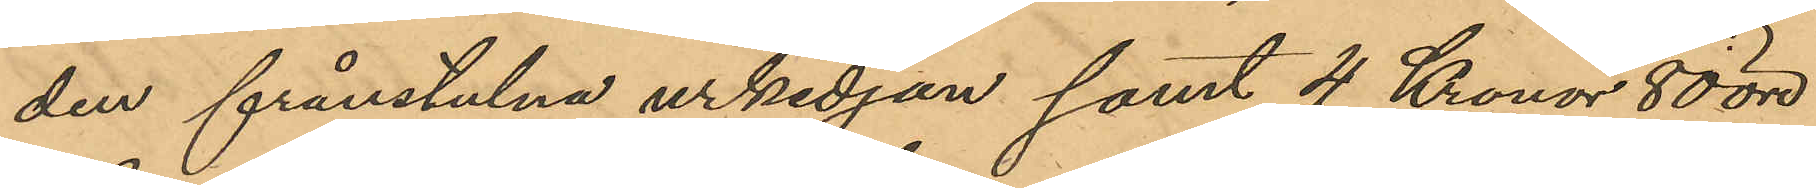den frånstulna urkedjan samt 4 Kronor 80 öre
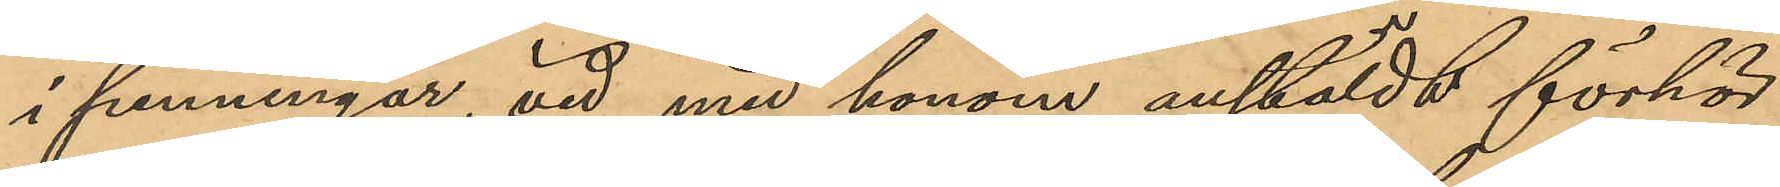i penningar, vid med honom anstäldt förhör
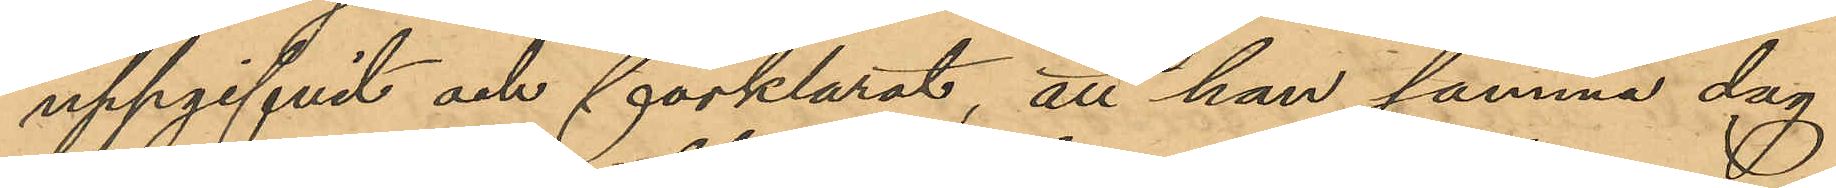uppgifvit och förklarat, att han samma dag
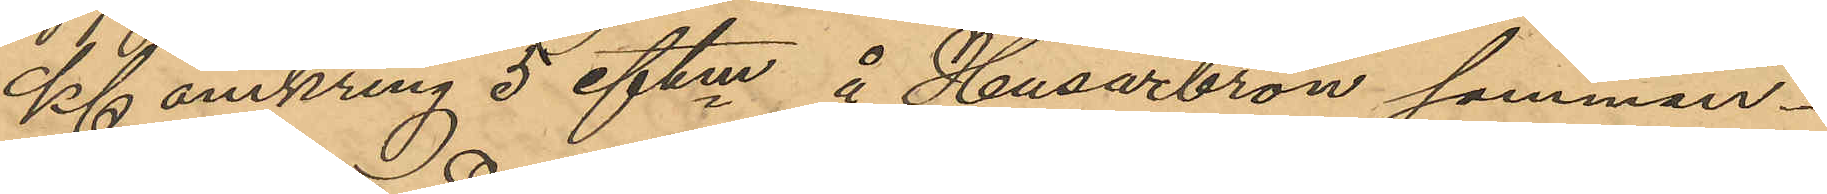Kl omkring 5 eftm å Husarbron samman¬
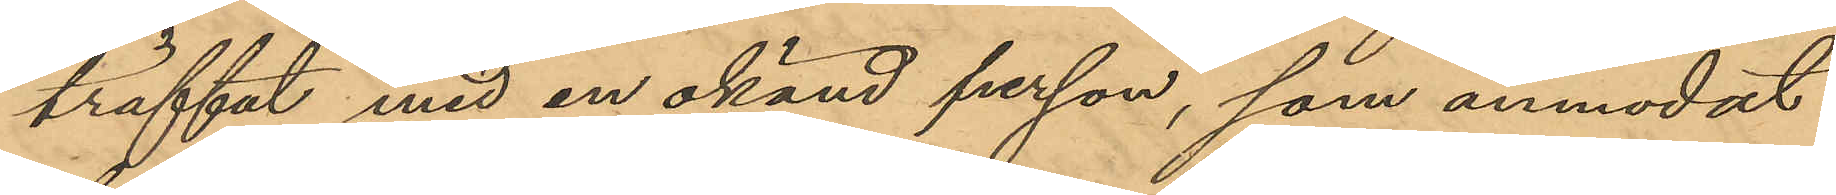träffat med en okänd person, som anmodat
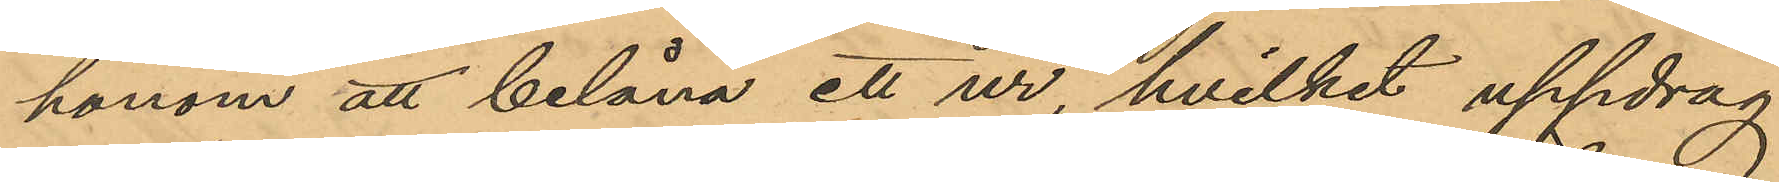honom att belåna ett ur, hvilket uppdrag
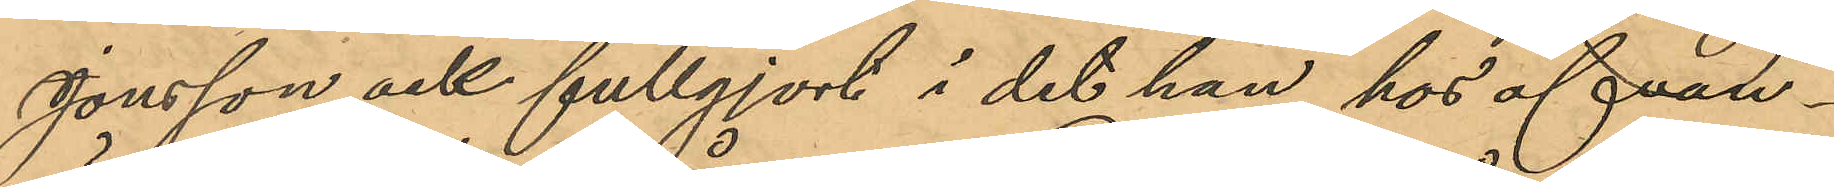Jonsson ock fullgjort i det han hos ofvan¬
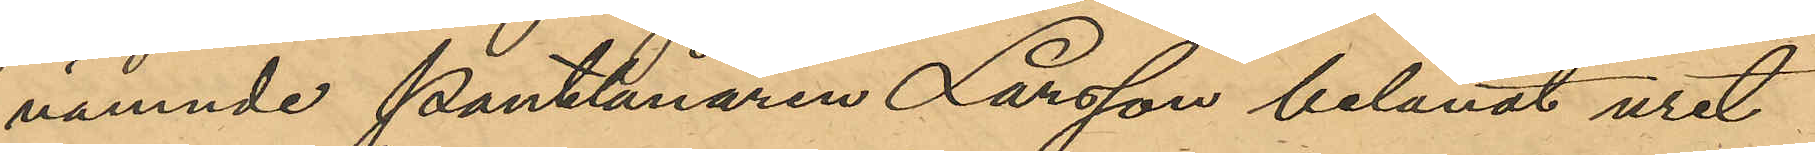nämnde Pantlånaren Larsson belånat uret
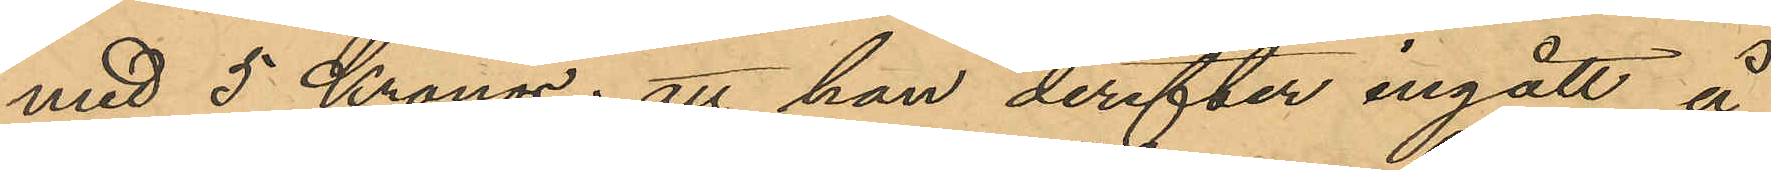med 5 Kronor; att han derefter ingått å
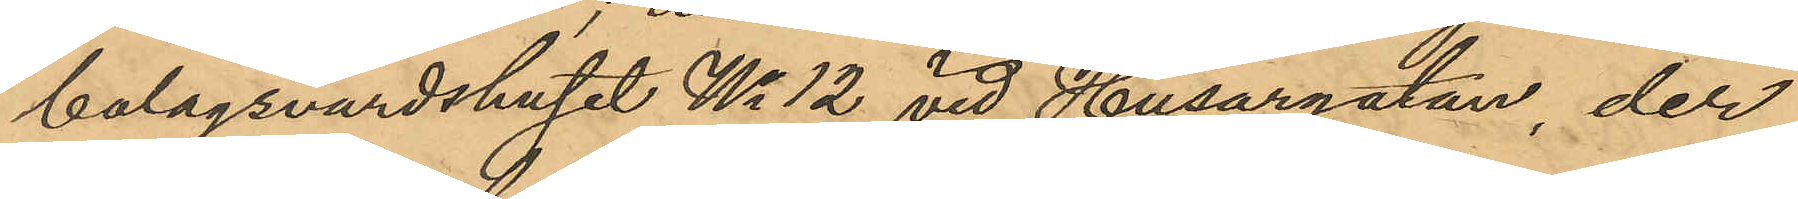bolagsvärdshuset No 12 vid Husargatan, der
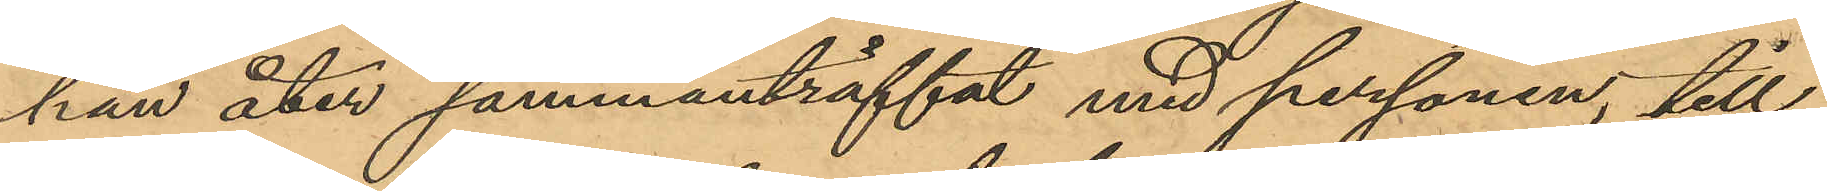han åter sammanträffat med personen, till
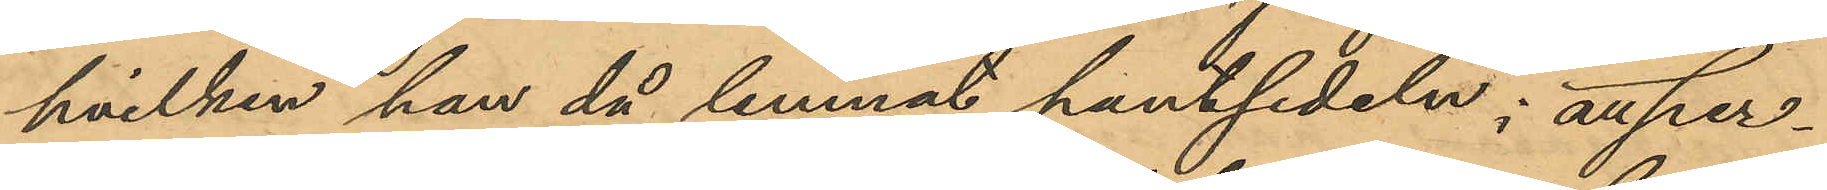hvilken han då lemnat pantsedeln; att per¬
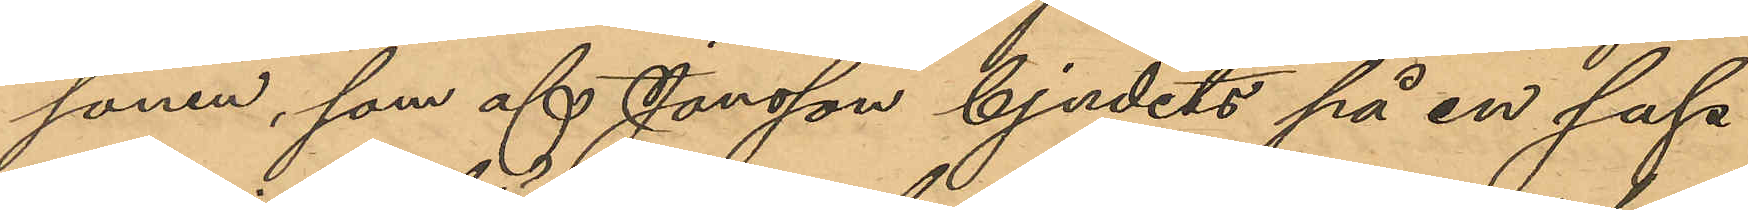sonen, som af Jonsson bjudits på en sup
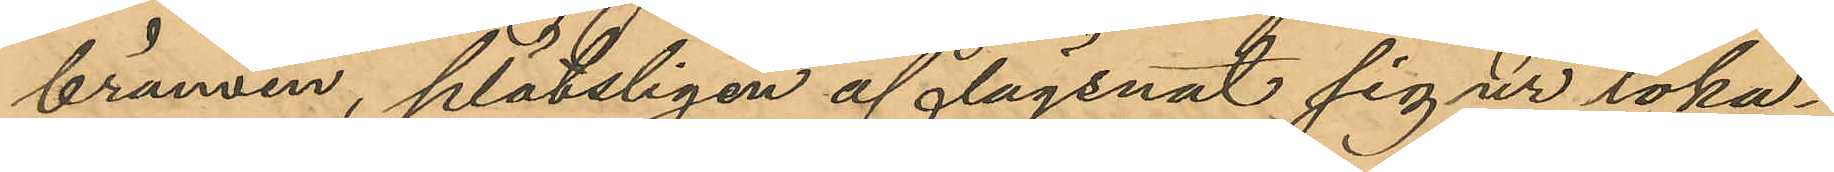brännvin, plötsligen aflägsnat sig ur loka¬
